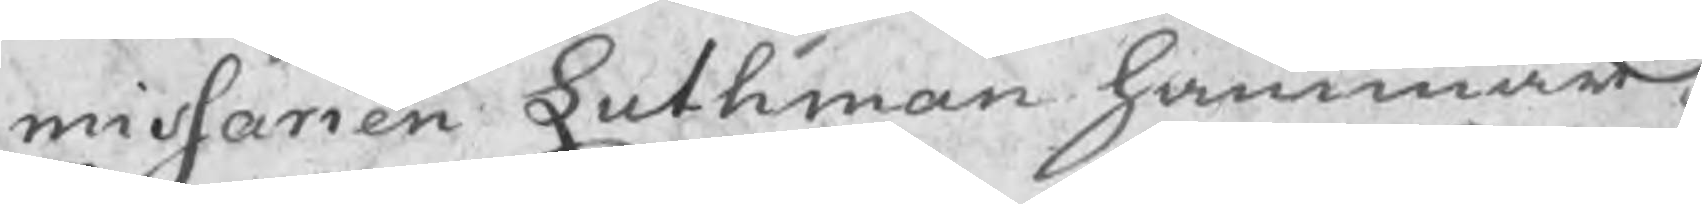missarien Luthman hammar¬
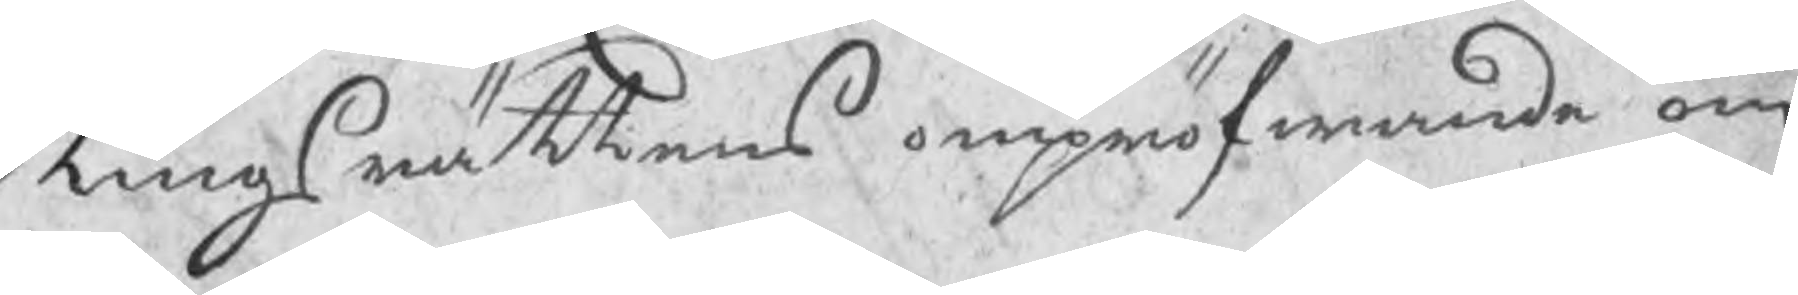tingsrättens ompröfwande om
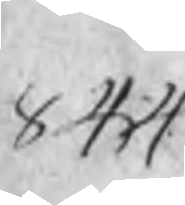844
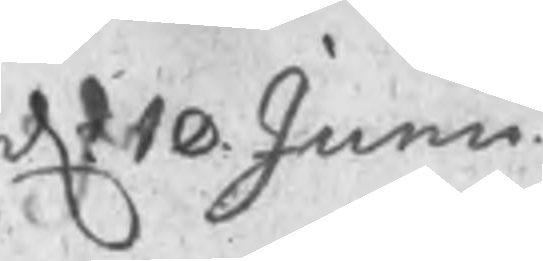d: 10 Junii
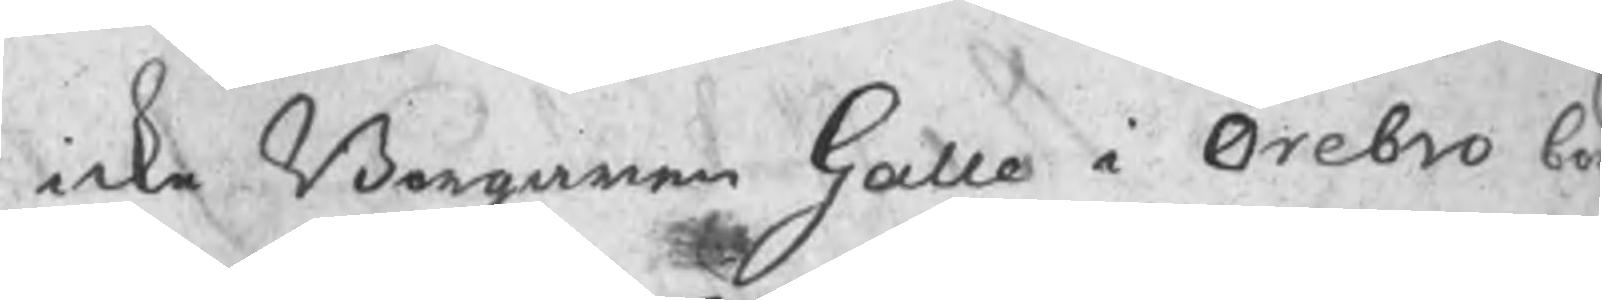icke Borgaren Galle i Örebro bö
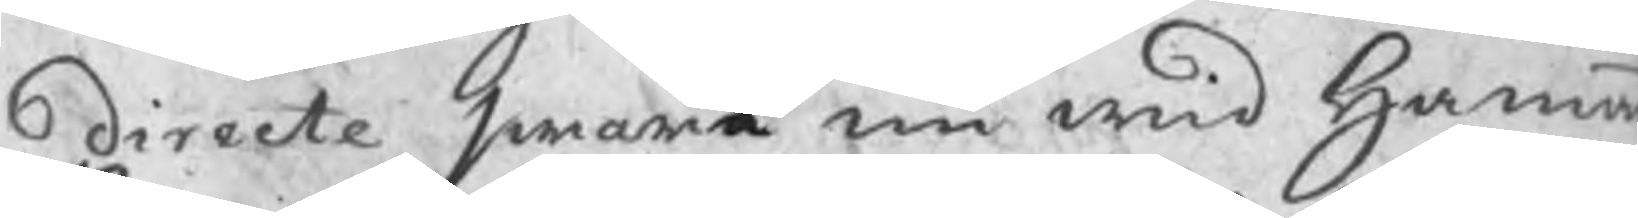directe swara nu wid Hamma
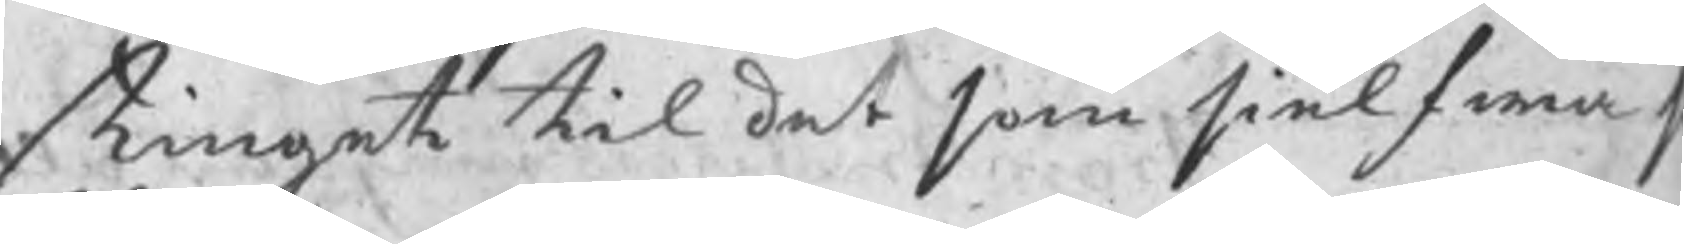tinget til det som sielfwa s
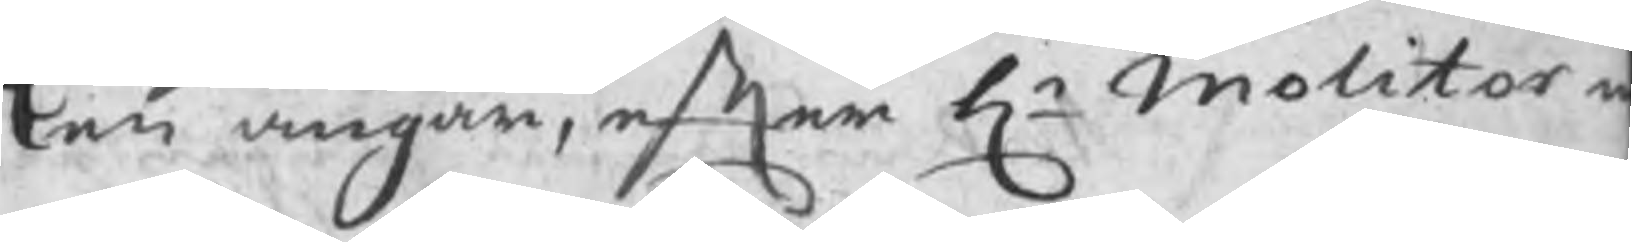ken angår, efter Hr Molitor n
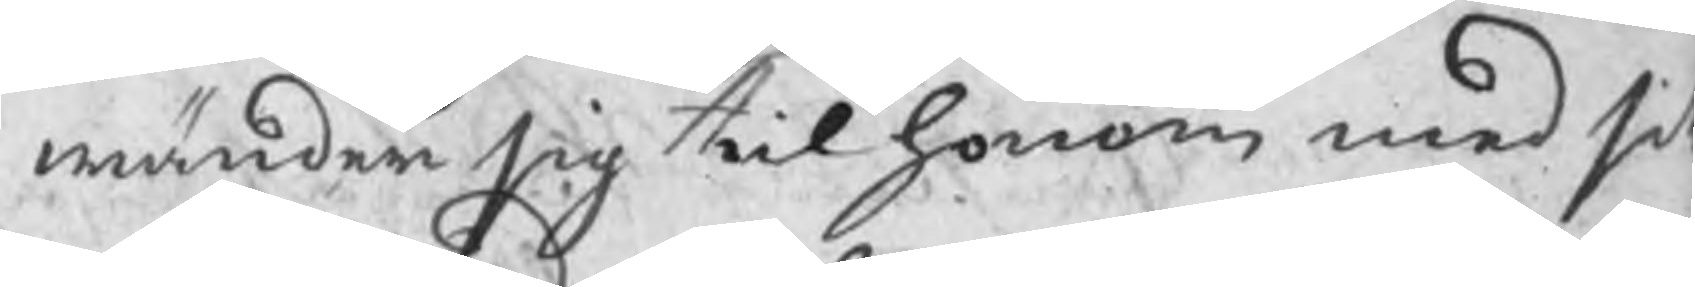wänder sig til honom med sit
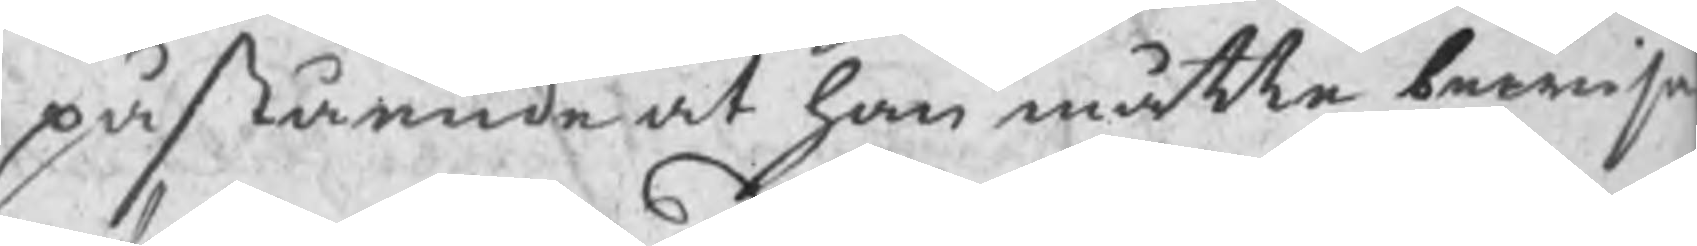påstående at han måtte bewisa
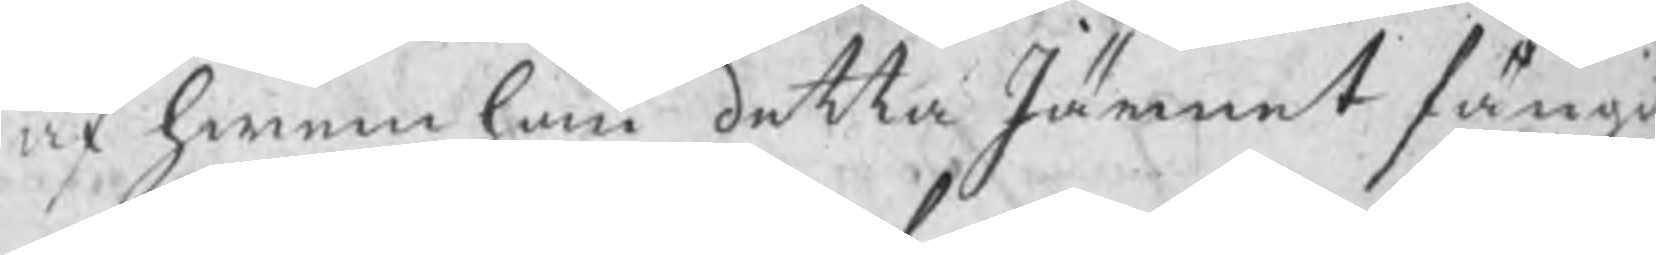af hwem han detta Järnet fångi
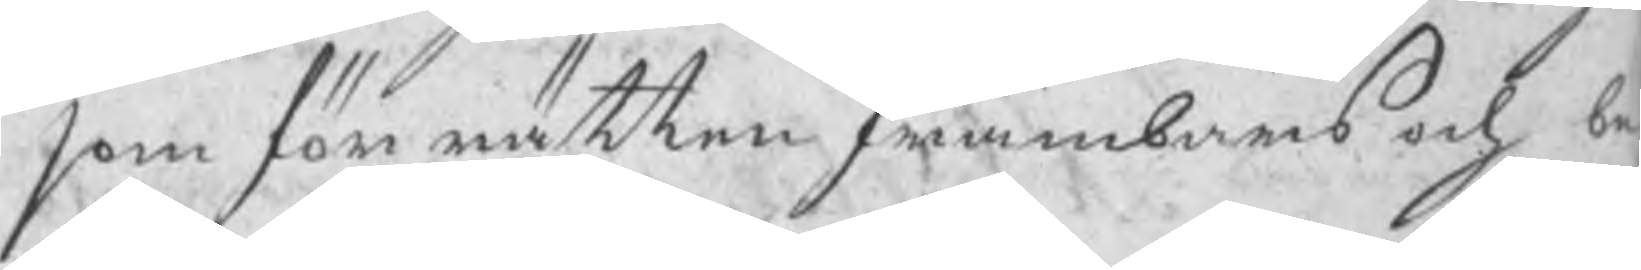som för rätten frambars och be
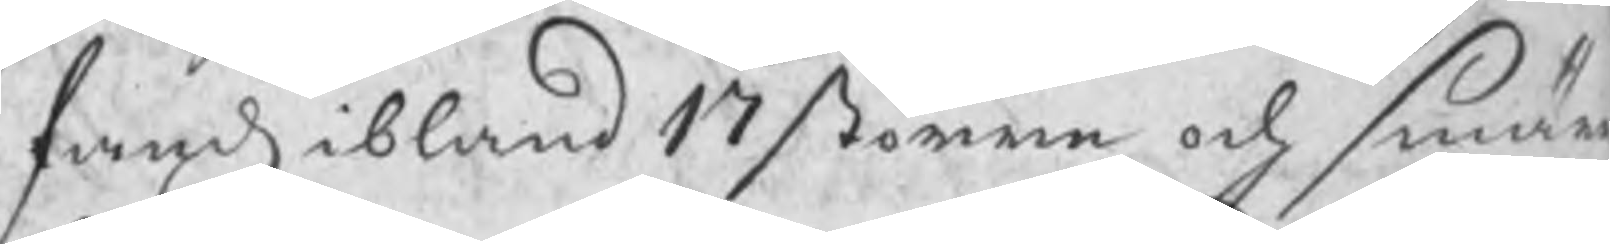fands ibland 17 större och smär
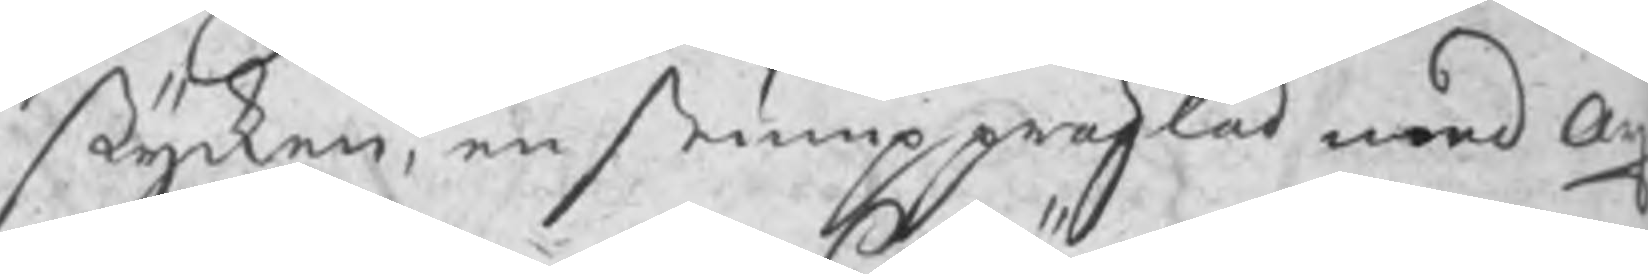stycken, en stump präglad med Ax
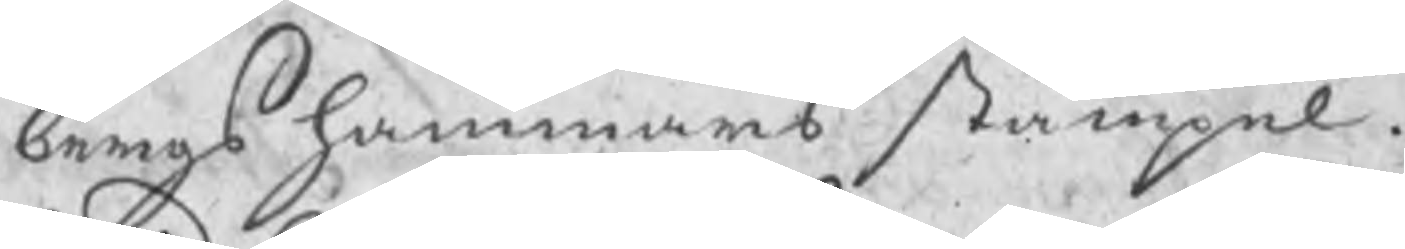bergs hammars stämpel.
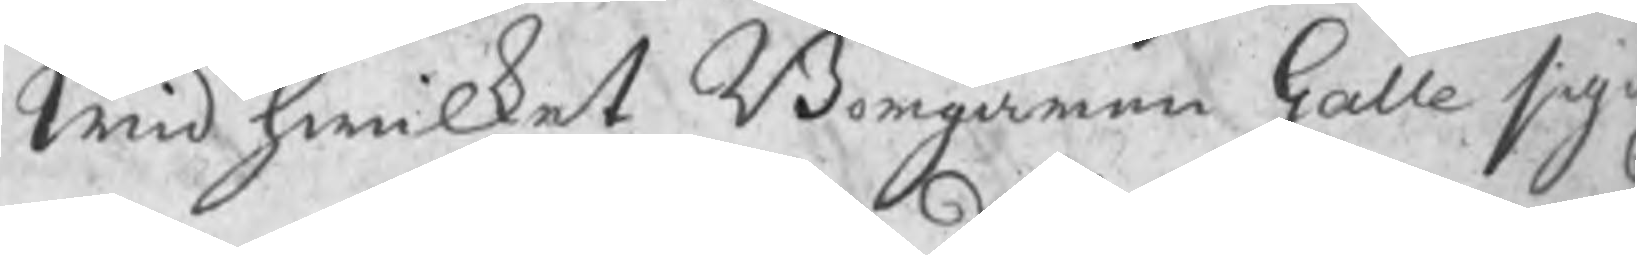Wid hwilket Borgaren Galle sig i
